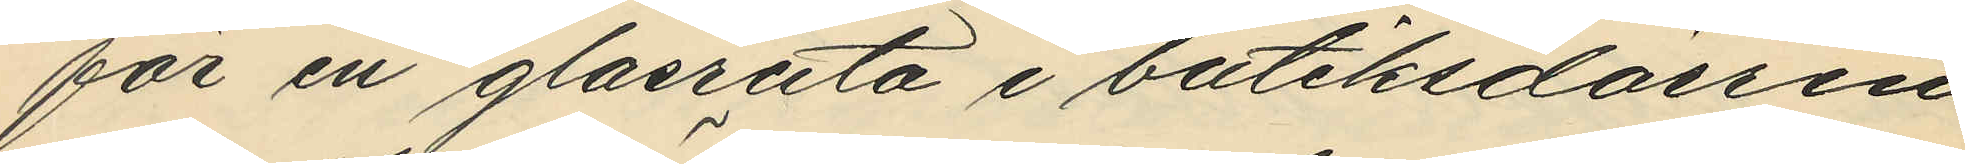för en glasruta i butiksdörren
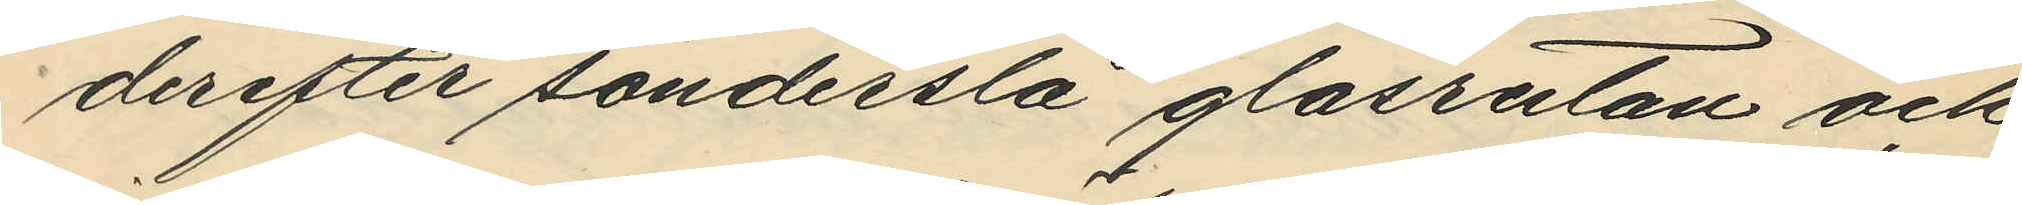derefter sönderslå glasrutan och
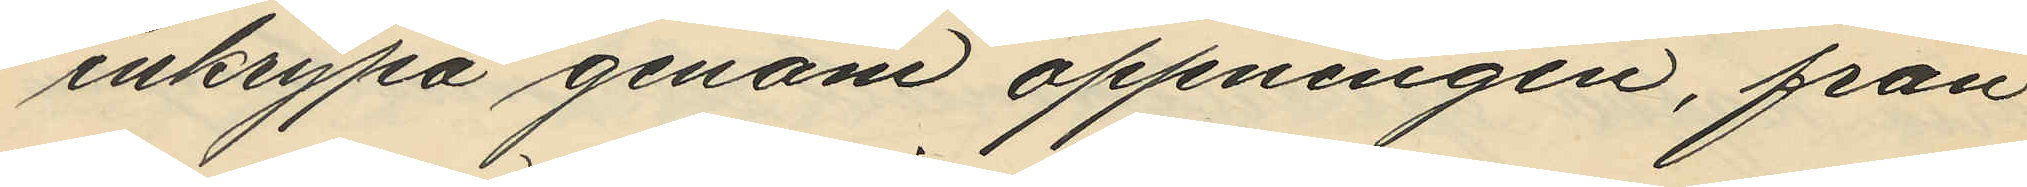inkrypa genom öppningen, från
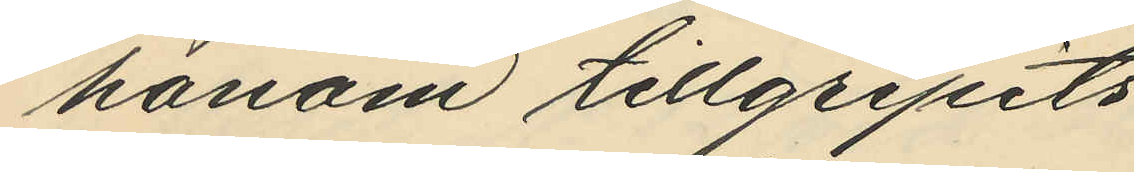honom tillgripits
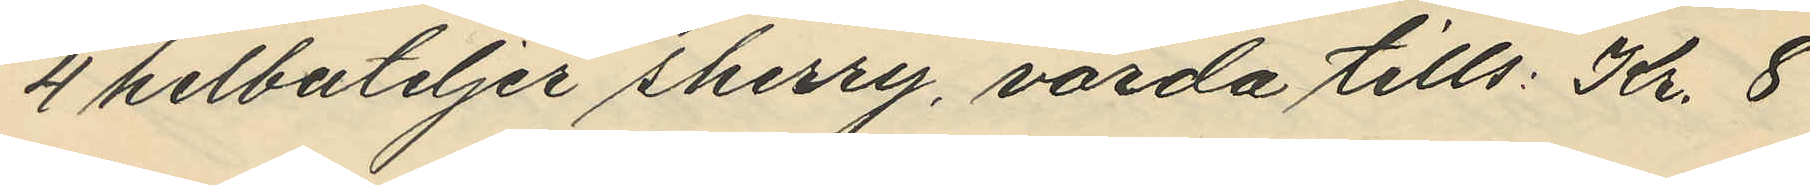4 helbuteljer sherry, värda tills. Kr. 8
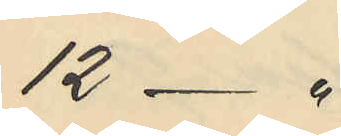12 -"
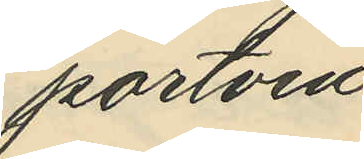portvin
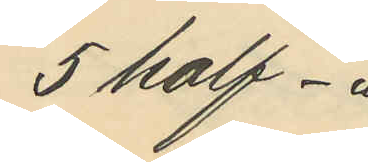5 half -"
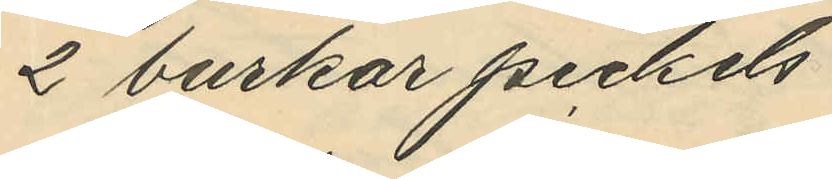2 burkar pickels
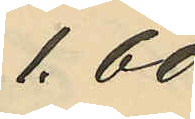1.60
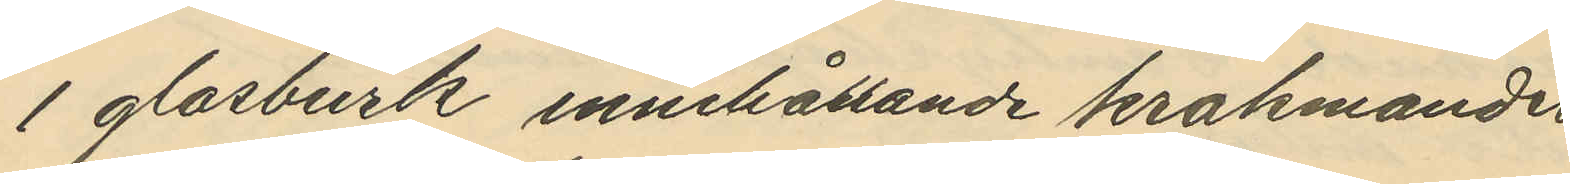1 glasburk innehållande krakmandel
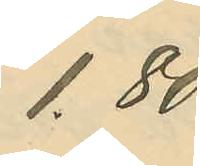1.80
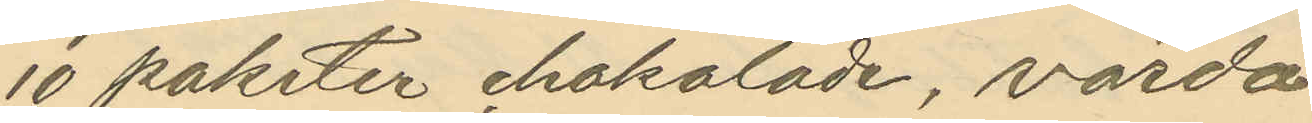10 paketer chokolade, värda
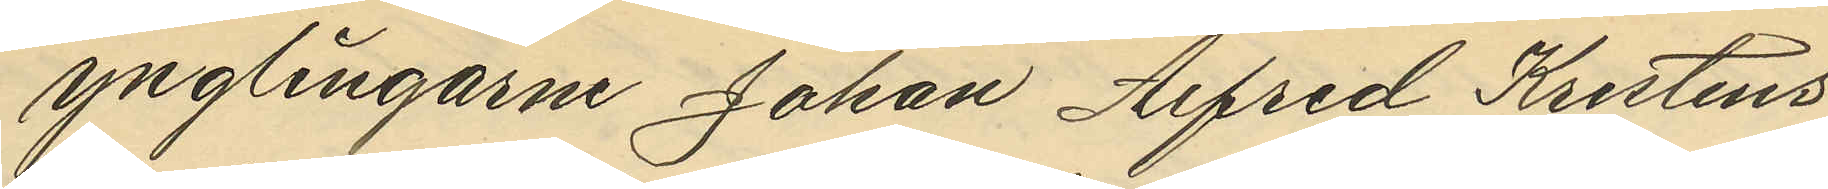ynglingarne Johan Alfred Kristens¬
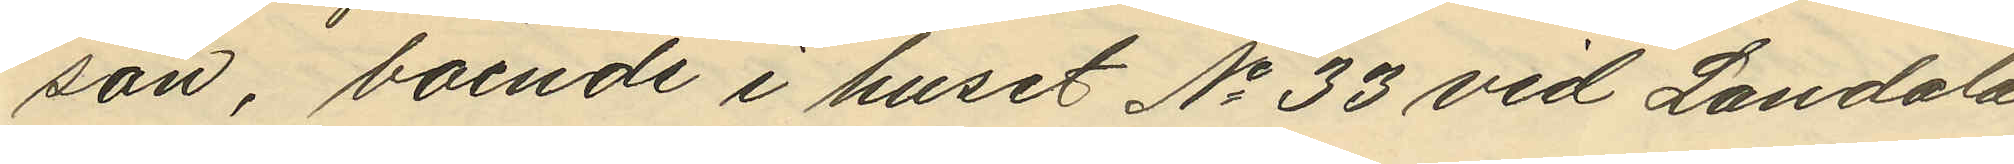son, boende i huset No 33 vid Landala
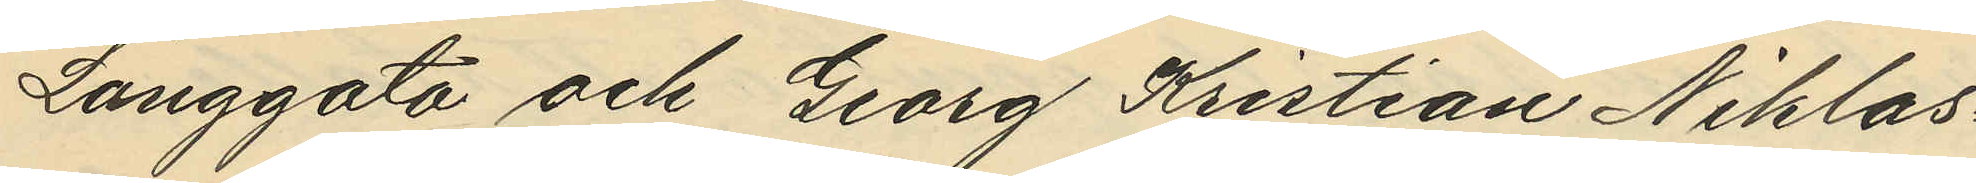Långgata och Georg Kristian Niklas¬
